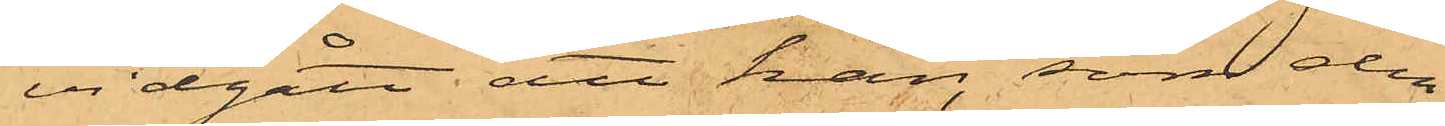vidgått att han, som den
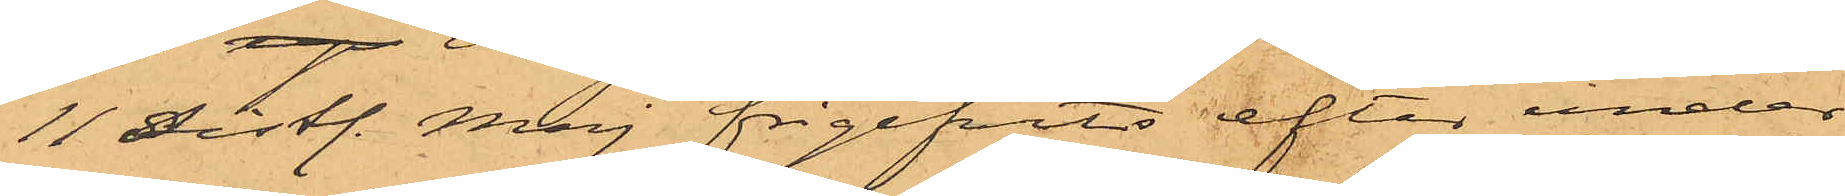11 sistl. Maj frigifvits efter under¬
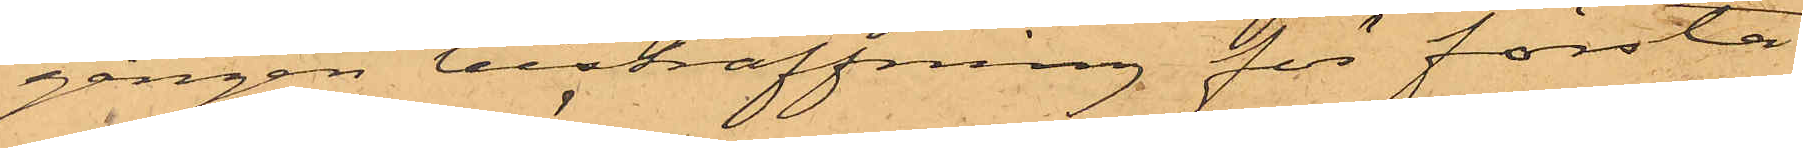gången bestraffning för första
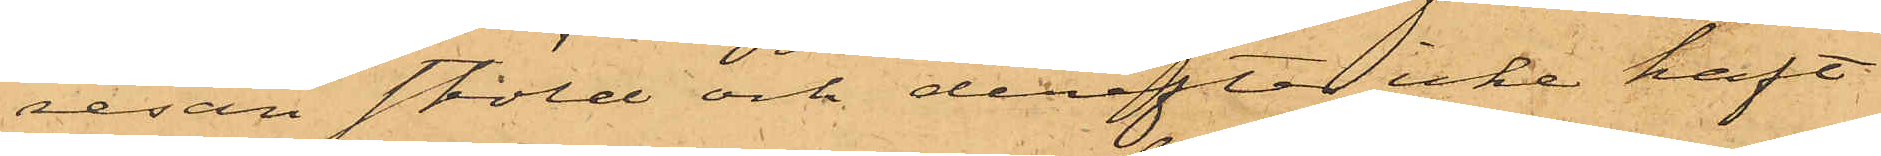resan stöld och derefter icke haft
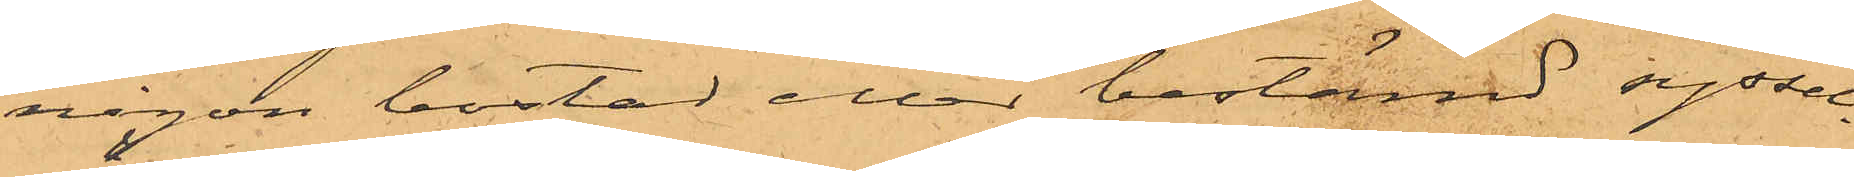någon bostad eller bestämd syssel¬
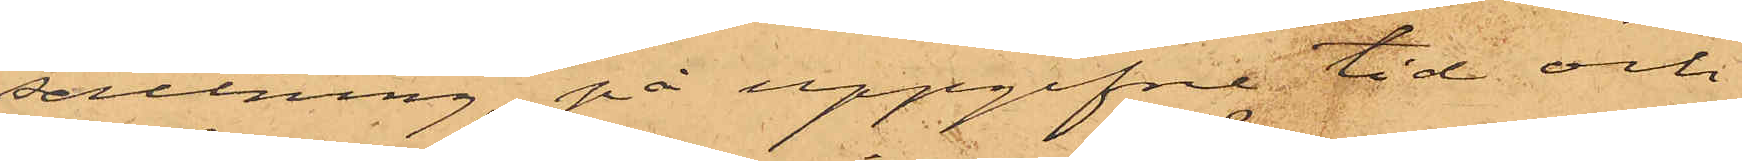sättning, på uppgifne tid och
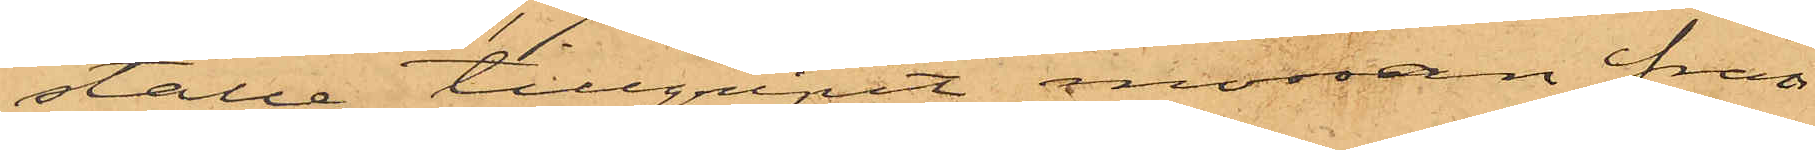ställe tillgripit mössan från
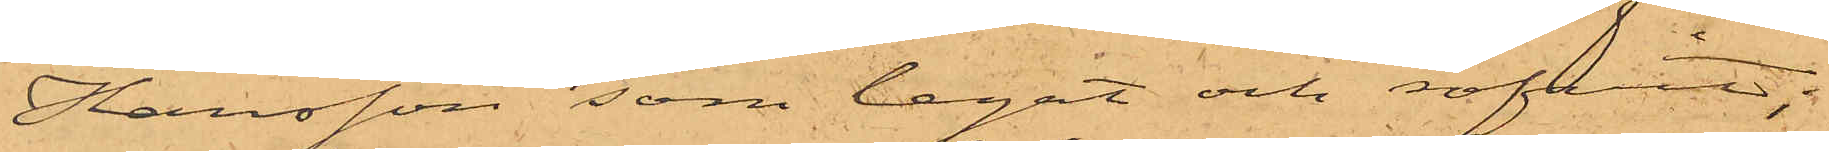Hansson, som legat och sofvit;
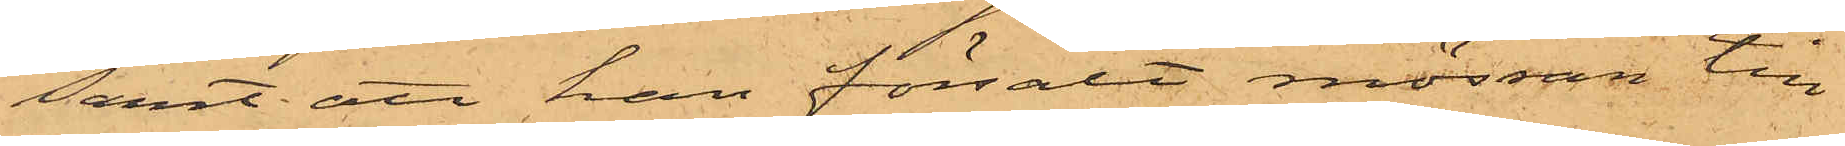samt att han försålt mössan till
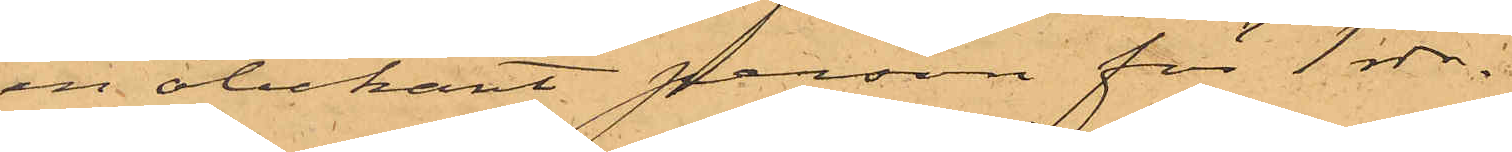en obekant person för 1 rdr.
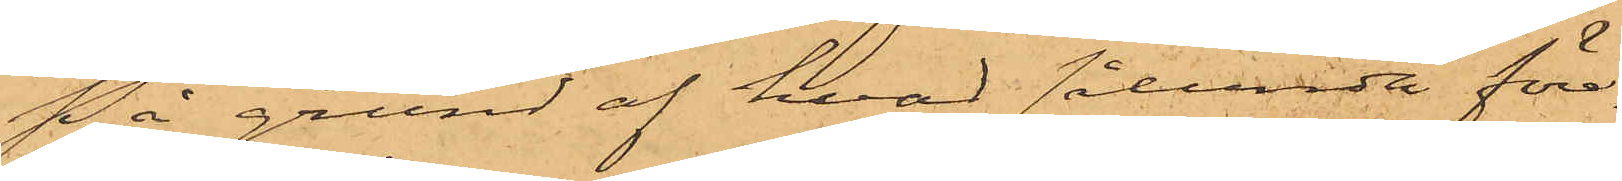På grund af hvad sålunda före¬
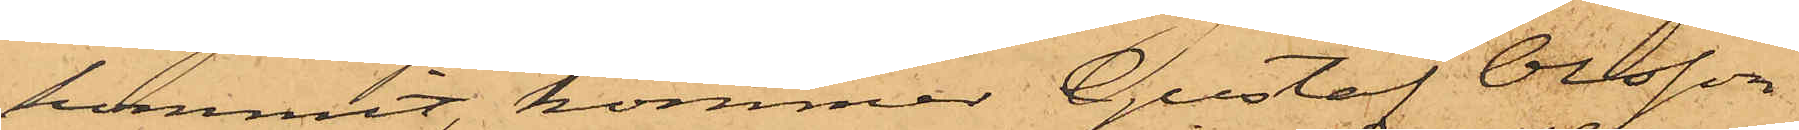kommit, kommer Gustaf Olsson
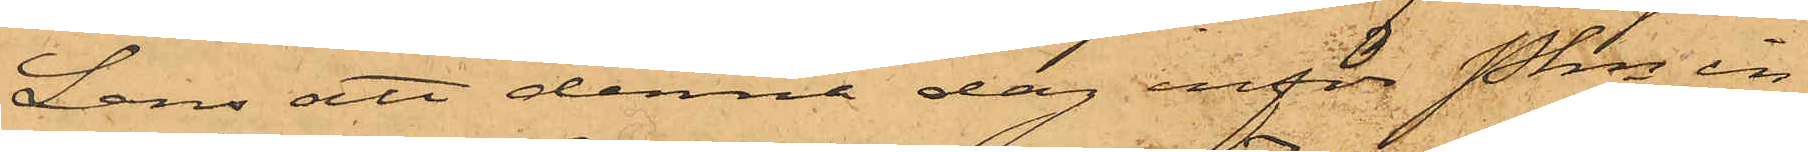Lans att denna dag inför Pkn in¬
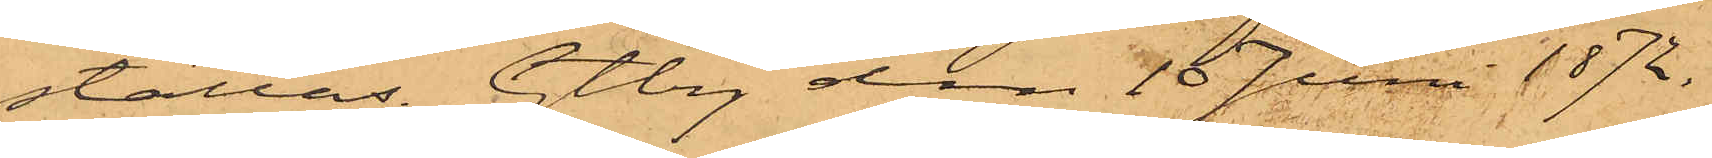ställas. Gtbrg den 10 Juni 1872.
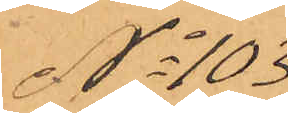No 103
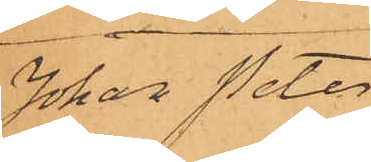Johan Peter
